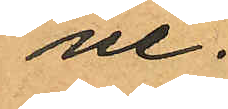ne.
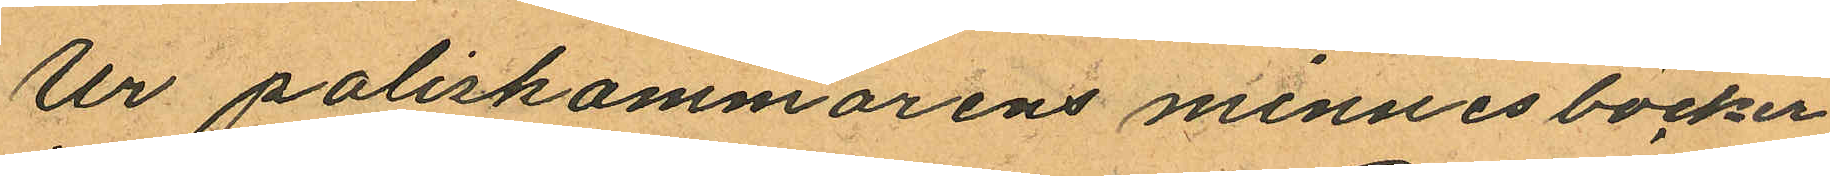Ur poliskammarens minnesböcker
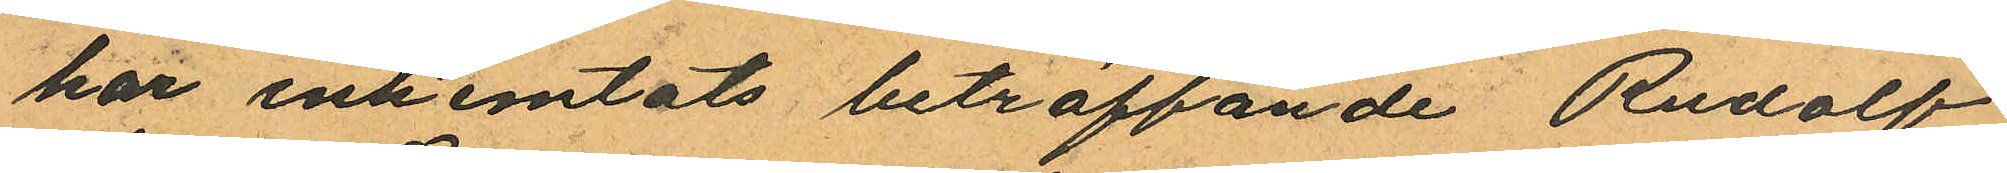har inhemtats beträffande Rudolf
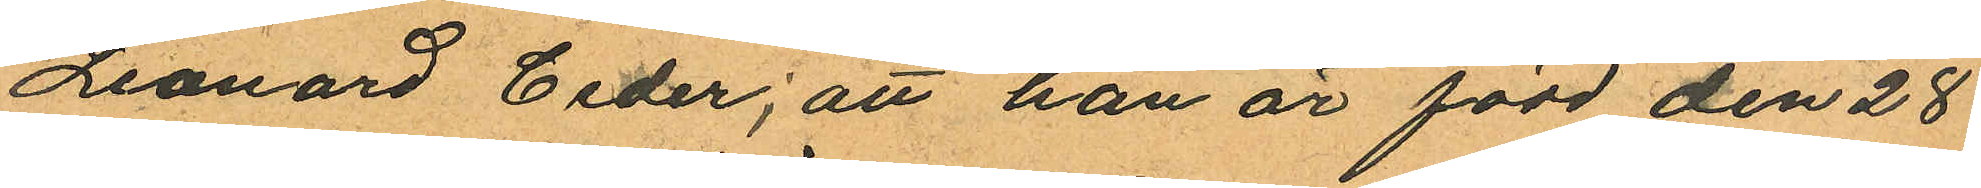Leonard Ceder; att han är född den 28
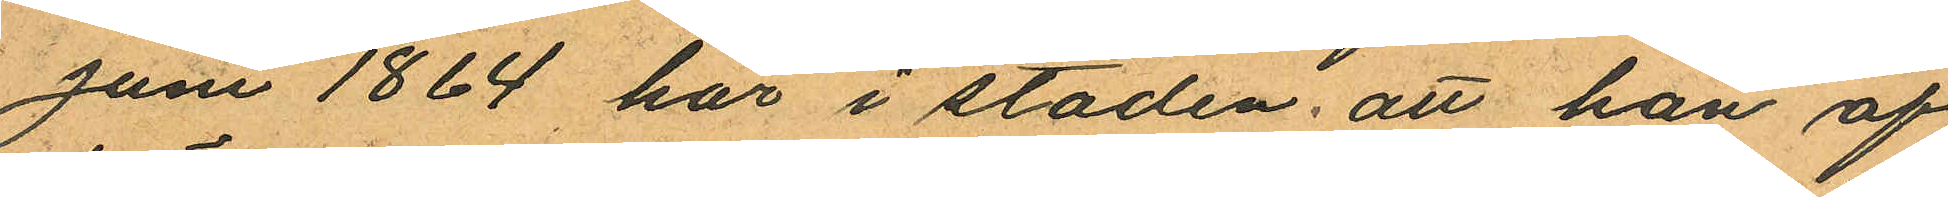Juni 1864 här i staden; att han af
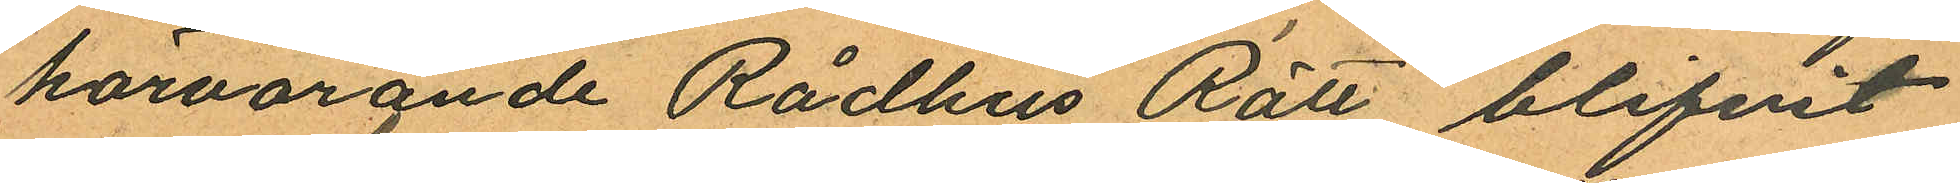härvarande Rådhus Rätt blifvit
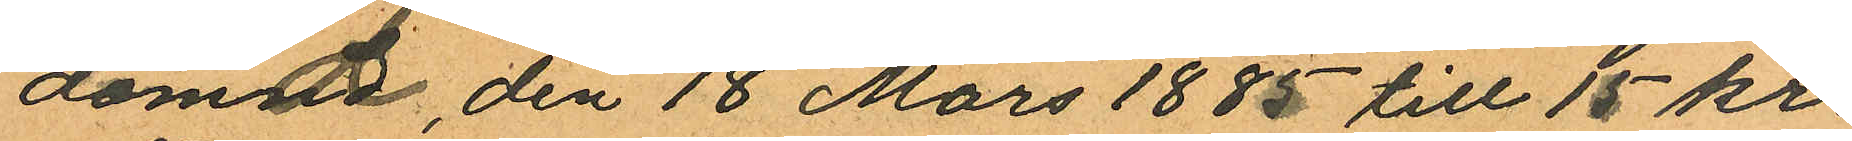dömd, den 18 Mars 1885 till 15 kr.
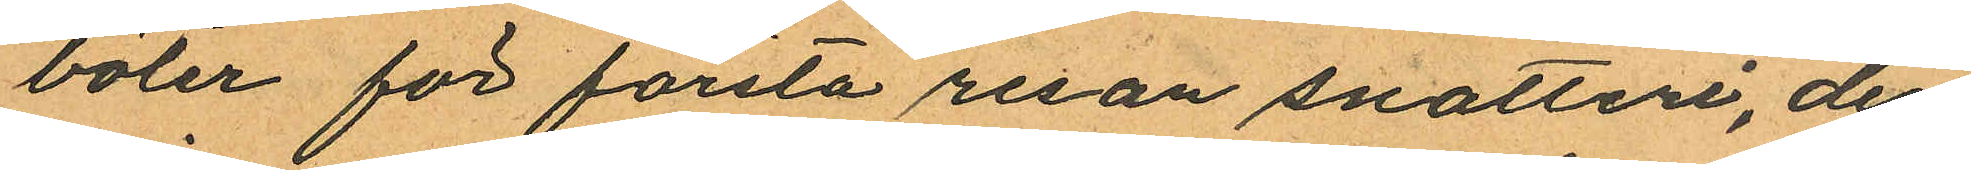böter för första resan snatteri, den
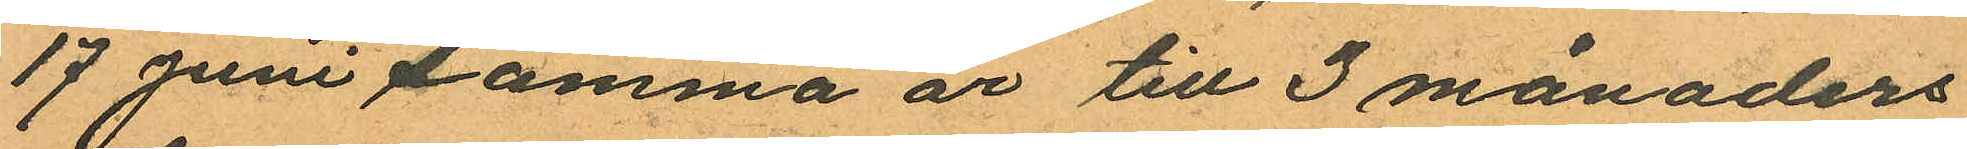17 Juni samma år till 3 månaders
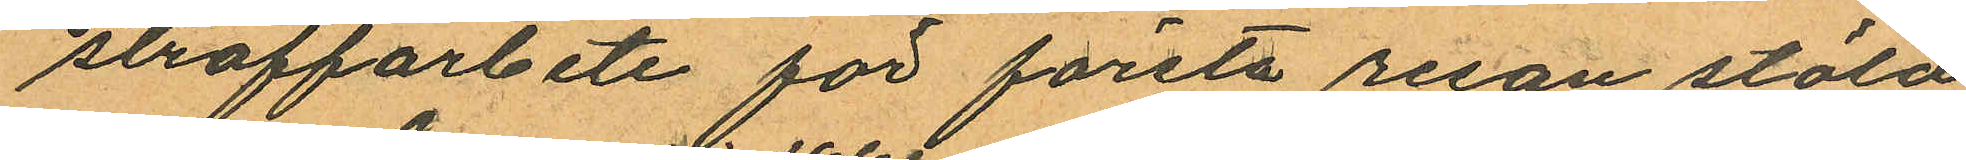straffarbete för första resan stöld
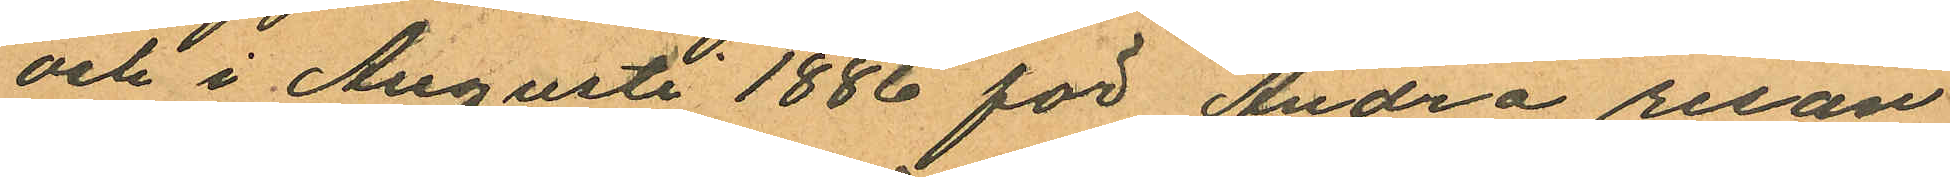och i Augusti 1886 för Andra resan
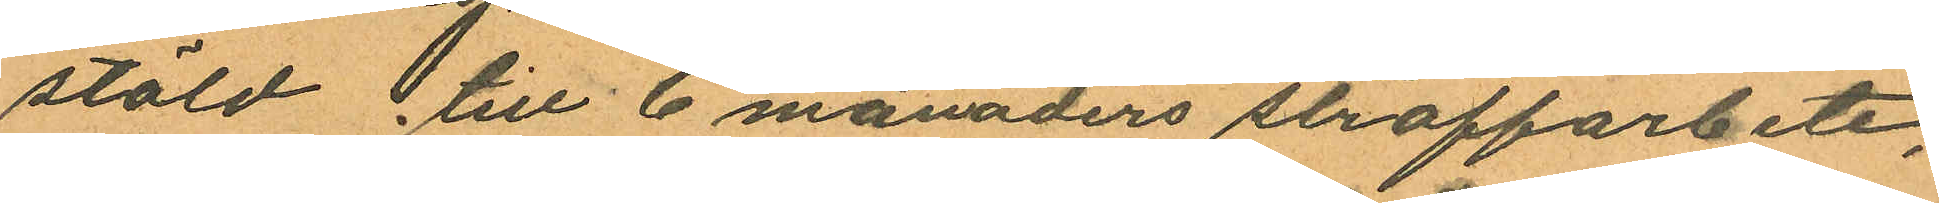stöld till 6 månaders straffarbete;
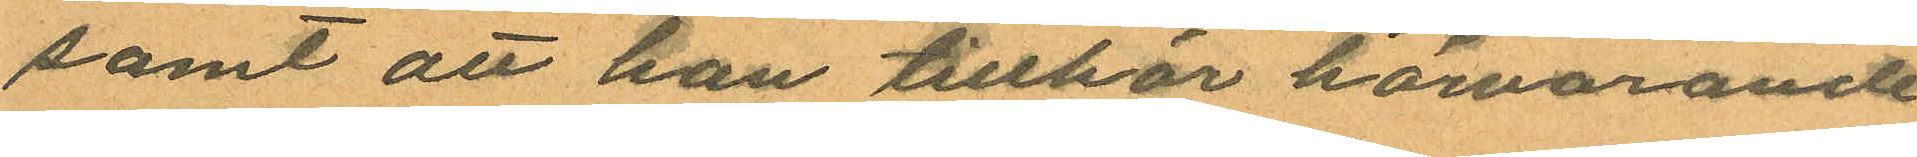samt att han tillhör härvarande
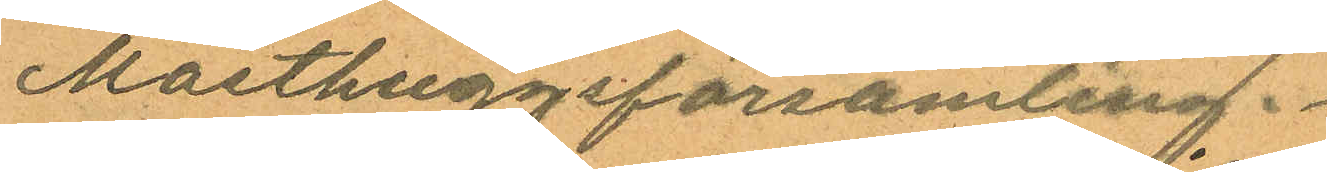Masthuggsförsamling.
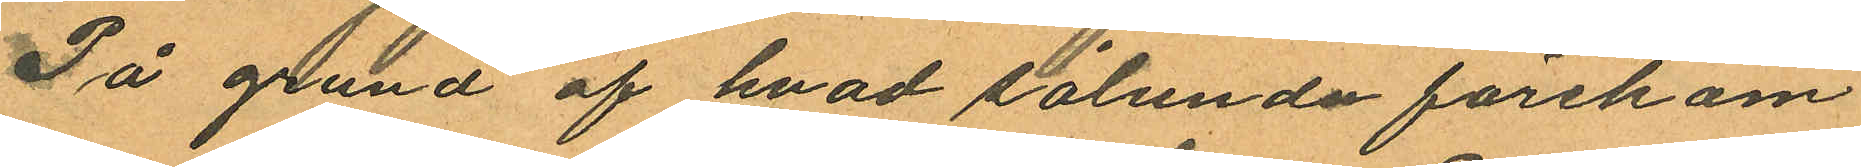På grund af hvad sålunda förekom¬
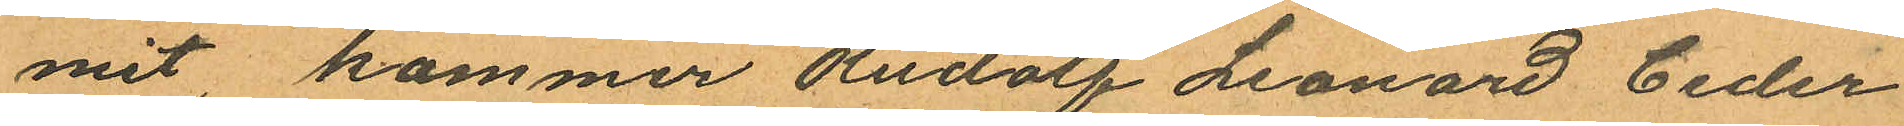mit, kommer Rudolf Leonard Ceder
